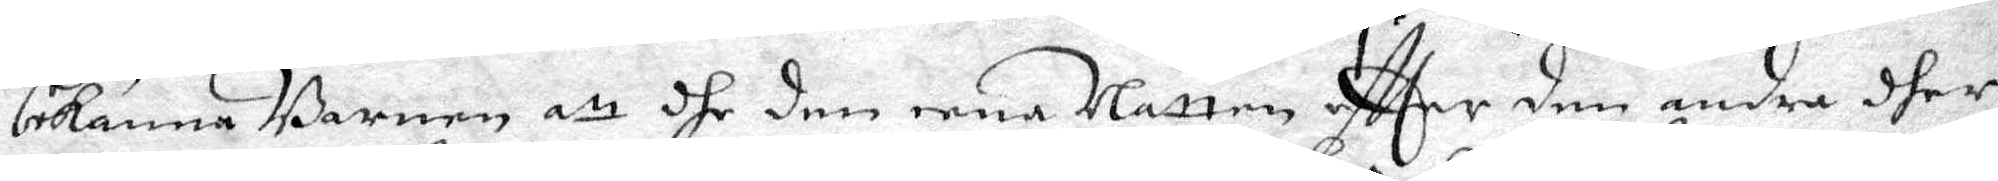bekänna Barnen att dhe den eena Natten effter den andre dher
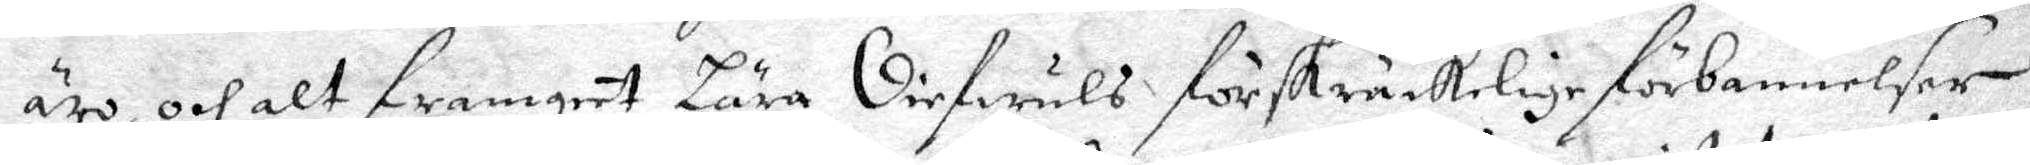äro, och alt framgent Lära Diefwuls förskräckelige förbannelser,
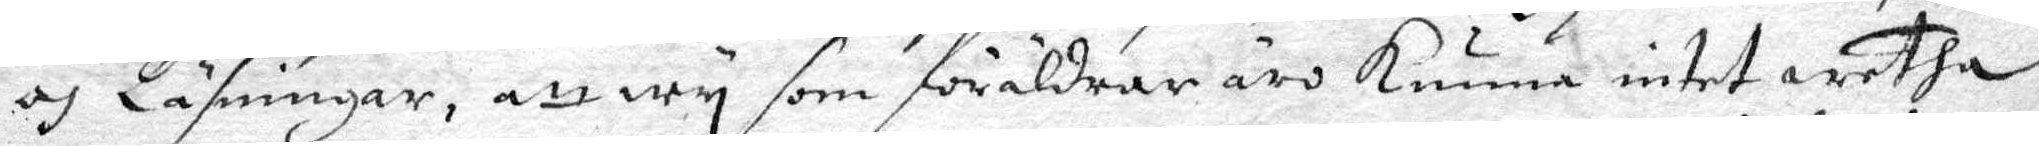och Läsningar, att wy som föräldrar äro kunna intet wetha
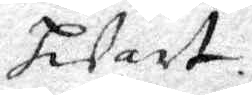hwart.
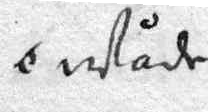wåhr
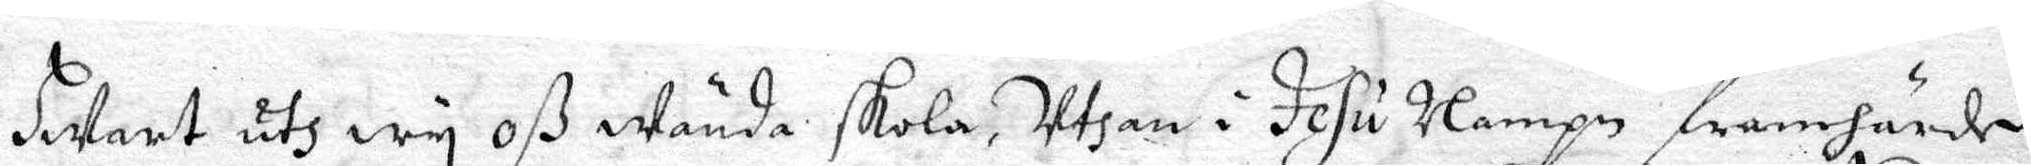Hwart uth wy oß wända skola, Uthan i Jesu Nampn framhärde
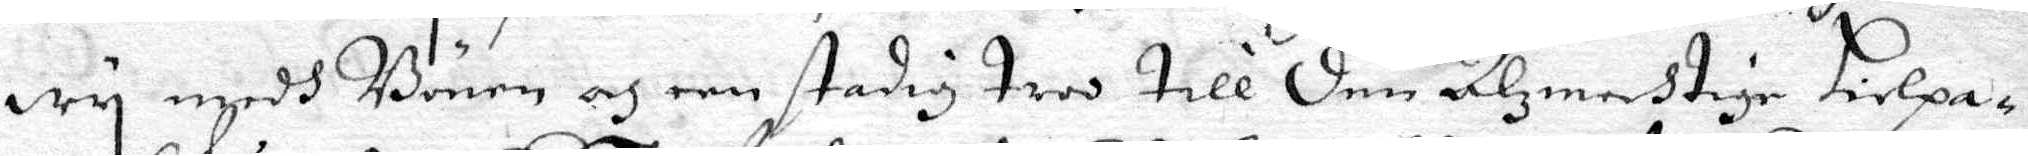Wy medh Bönen och een stadig troo till Den Alzmechtige Hielpa¬
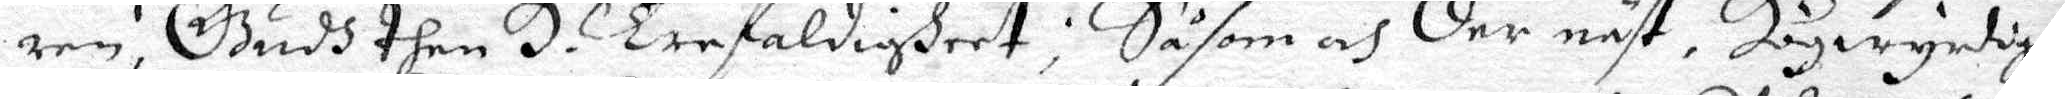ren, Gudh then H. Trefaldigheet; Såsom och der näst, Högwyrdige
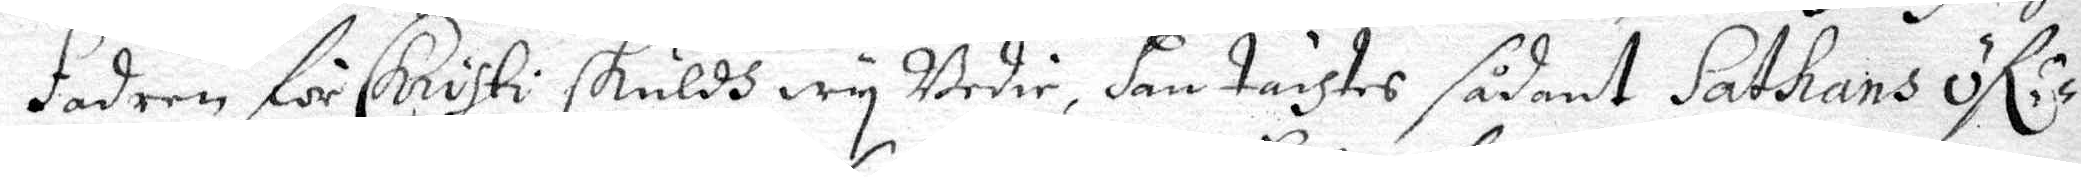fadren för Christi skuldh wy Bedie, han taihtes sådant Sathans öf:r
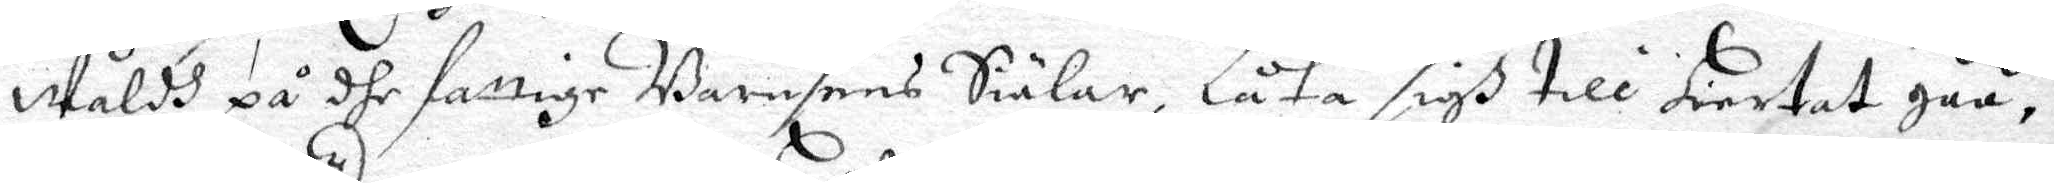Wåldh på dhe fattige Barnesens Siälar, Låta sigh till hiartat gåå,
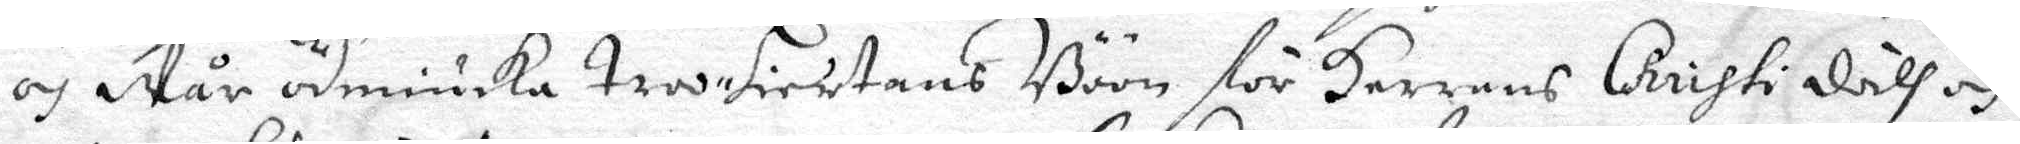och Wår ödmiuka troo hiertans Böön för Herrans Christi dåth och
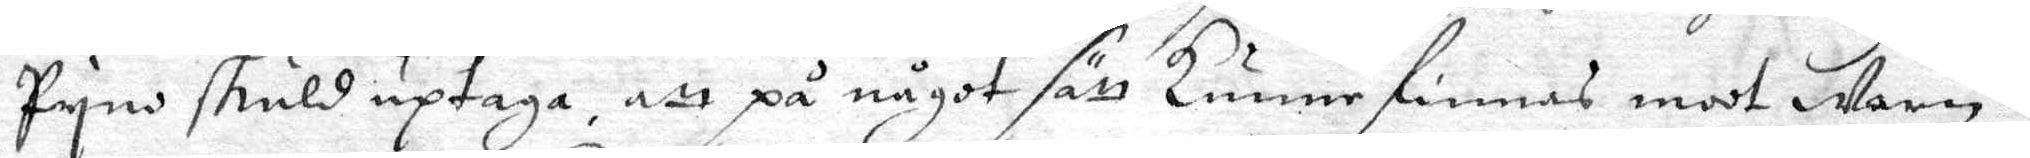Pyno skuld uptaga, att på något sätt kunne finnas moot Wärn i
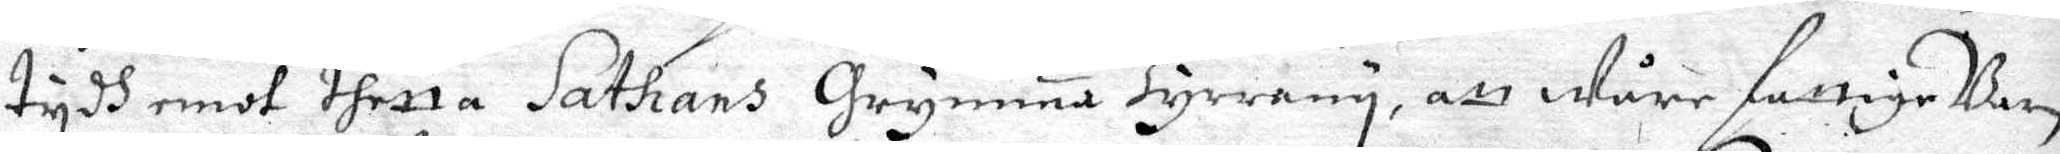tydh emot thetta Sathans Grymma Tyrrany, att wåre fattige Barn
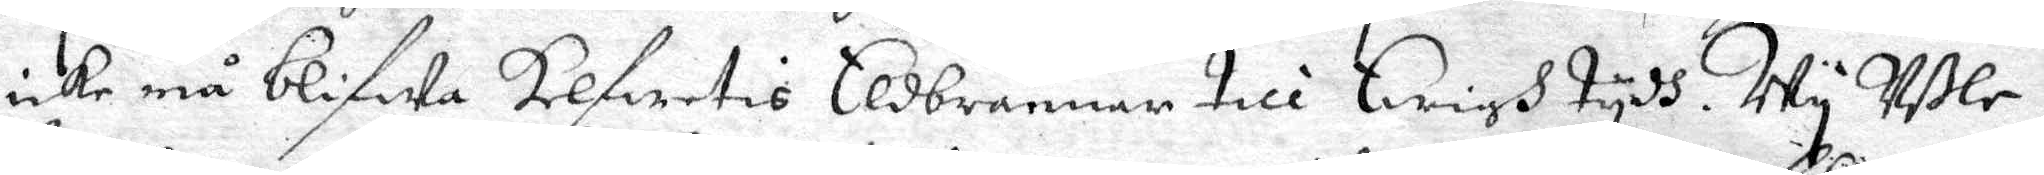icke må blifwa Helfwetis Eldbrannar till Ewigh tydh. Wy Ussle
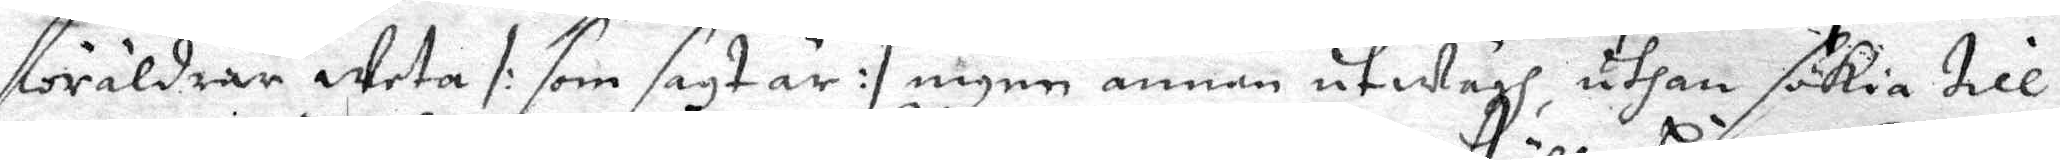föräldrar weta /: som sagt är :/ nigen annan utwägh, uthan sökia till
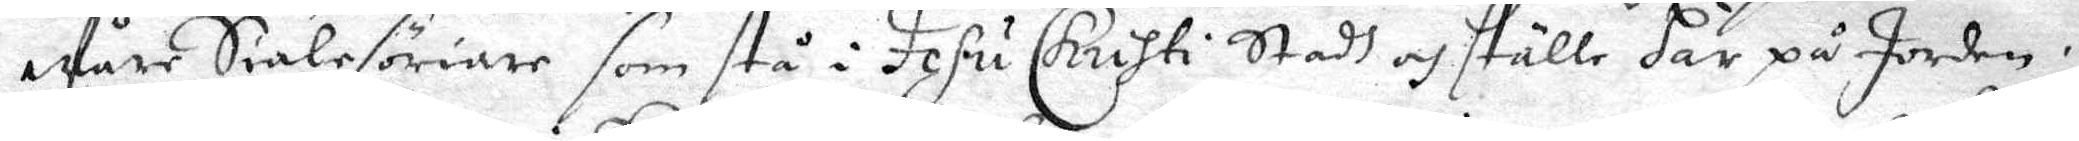Wåre Siälesöriare som stå i Jesu Chrihti Stadh och ställe här på Jorden,
